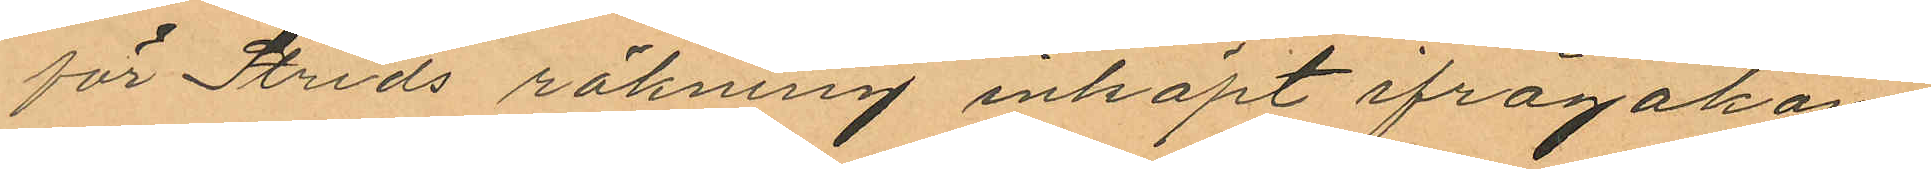för Strids räkning inköpt ifrågakom
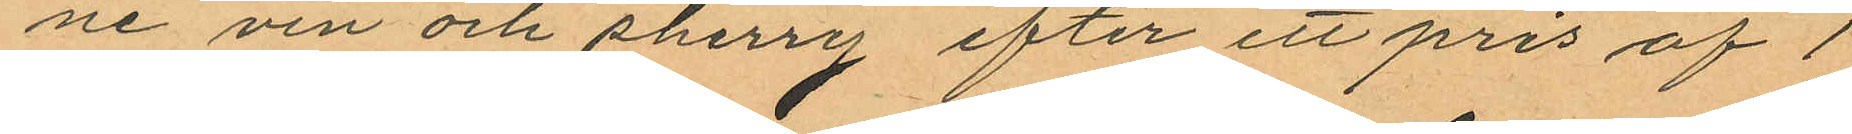ne vin och sherrey efter ett pris af 1
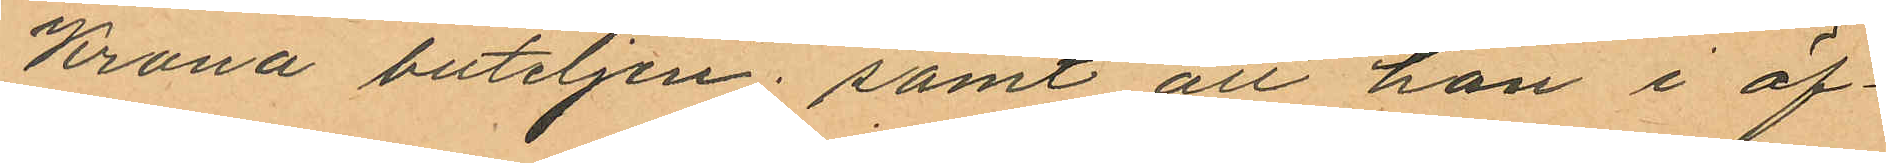Krona buteljen; samt att han i öf¬
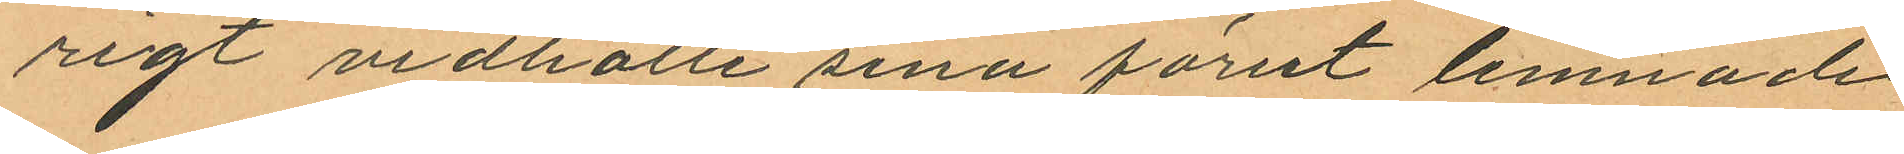rigt vidhölle sina förut lemnade
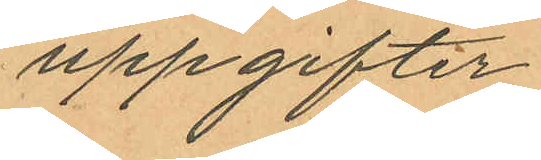uppgifter.
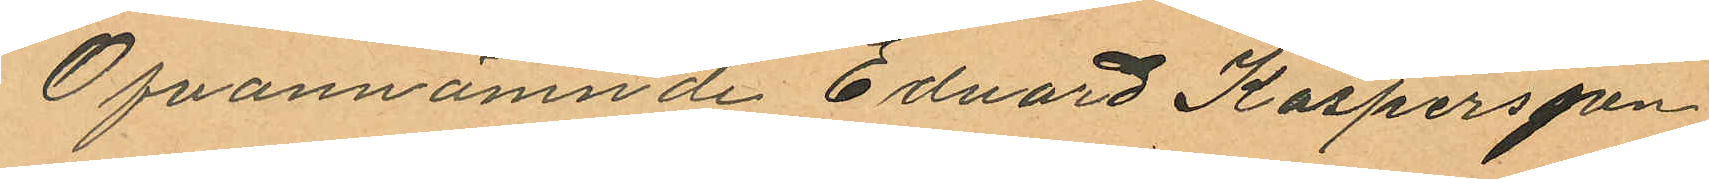Ofvannämnde Edvard Kaspersson
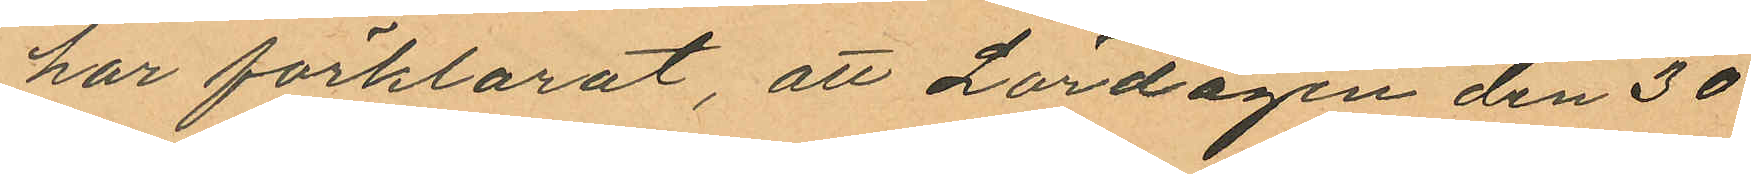har förklarat, att Lördagen den 30
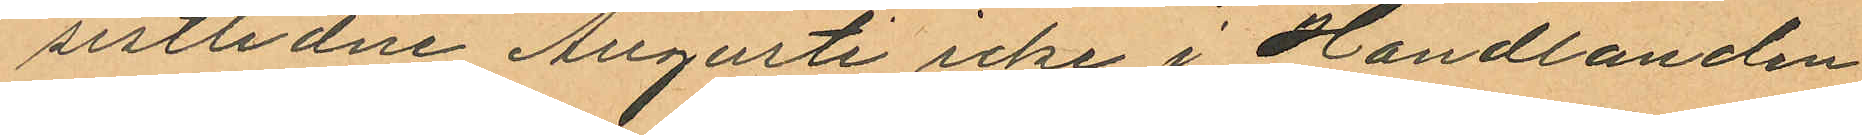sistlidne Augusti icke i Handlanden
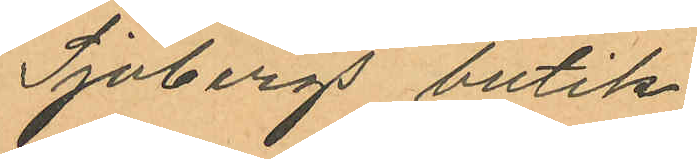Sjöbergs butik
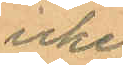icke
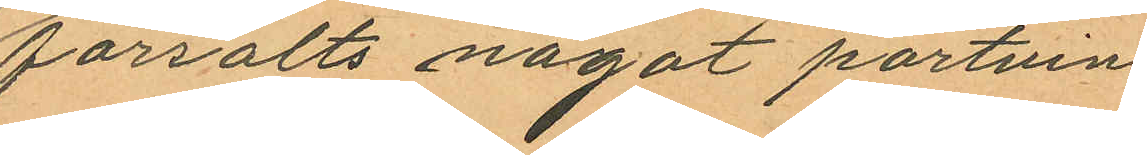försålts något portvin
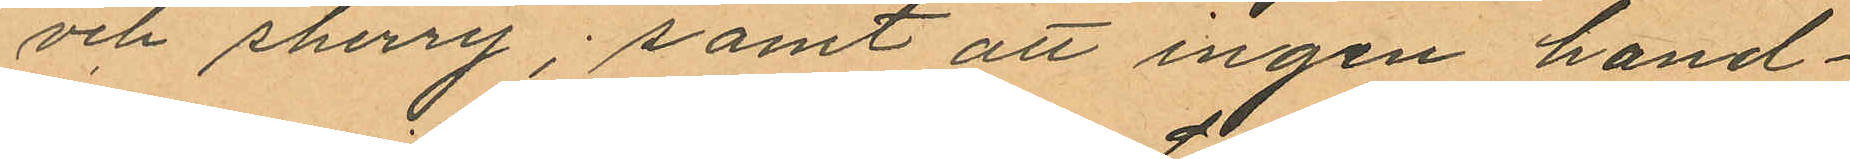och sherry; samt att ingen hand¬
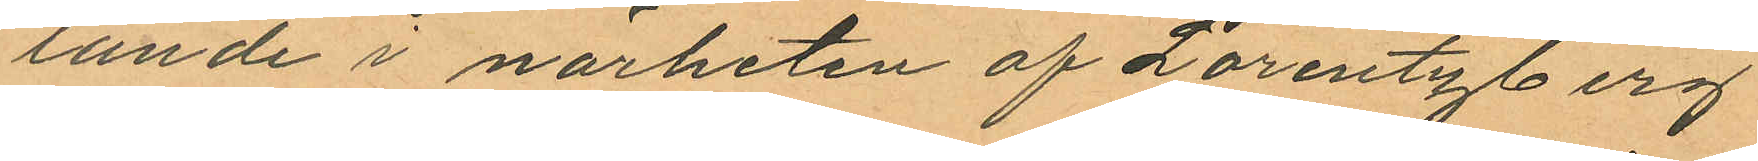lande i närheten af Lorentzberg
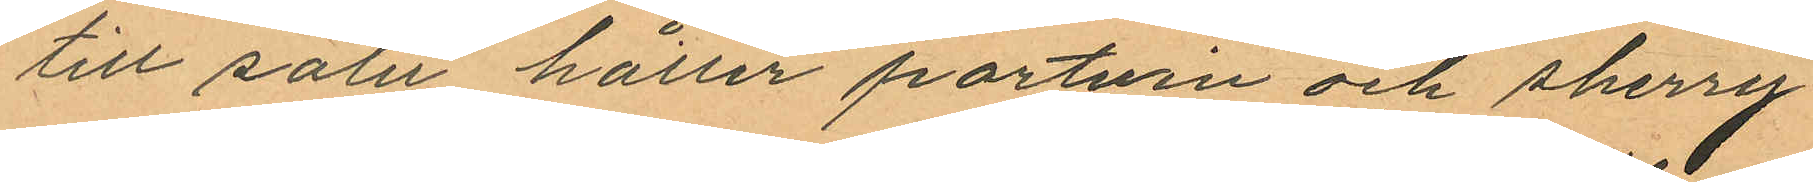till salu håller portvin och sherry
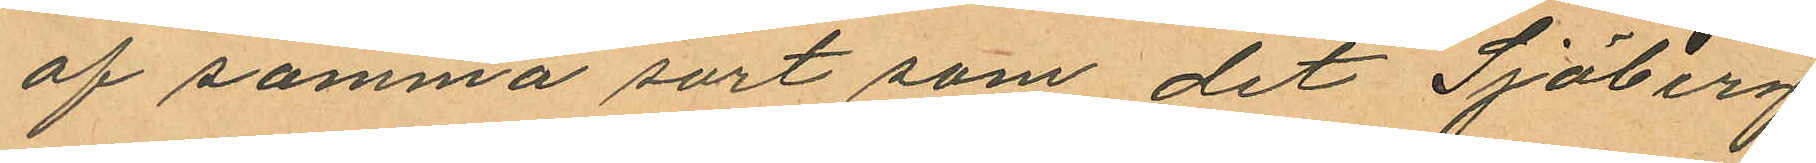af samma sort som det Sjöberg
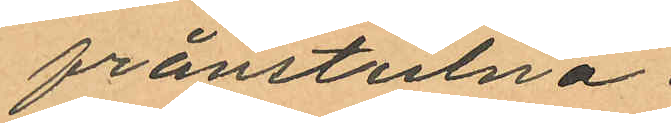frånstulna.
